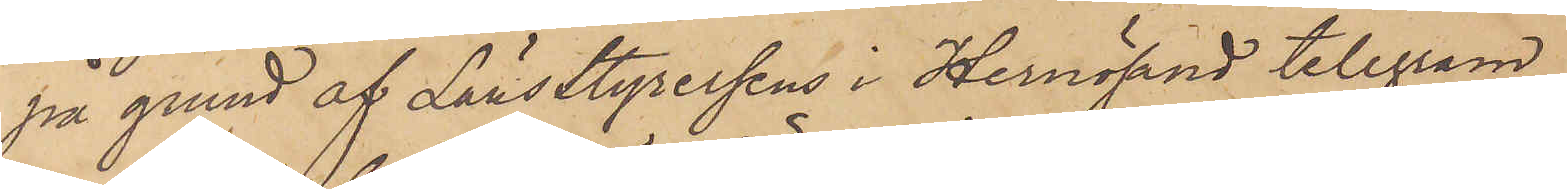på grund af Länsstyrelsens i Hernösand telegram
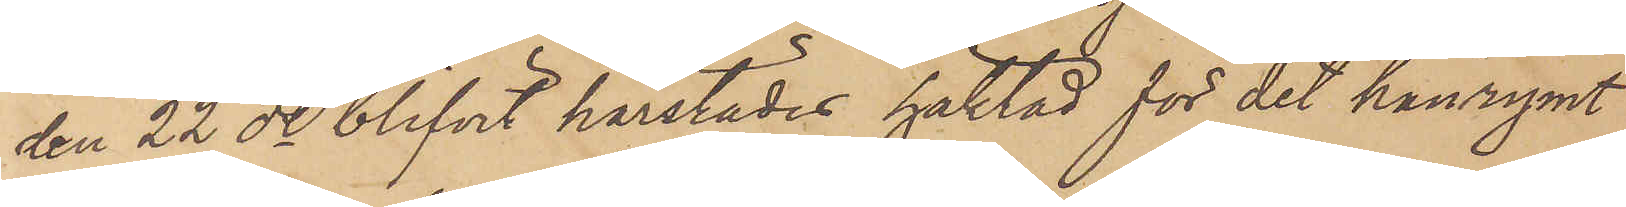den 22 ds blifvit härstädes häktad för det han rymt
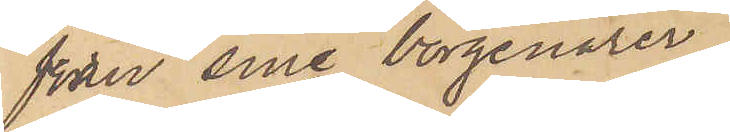från sine borgenärer.
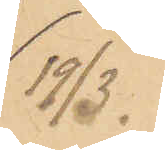19/3.
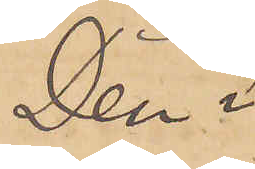Den i
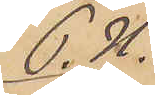P. U.
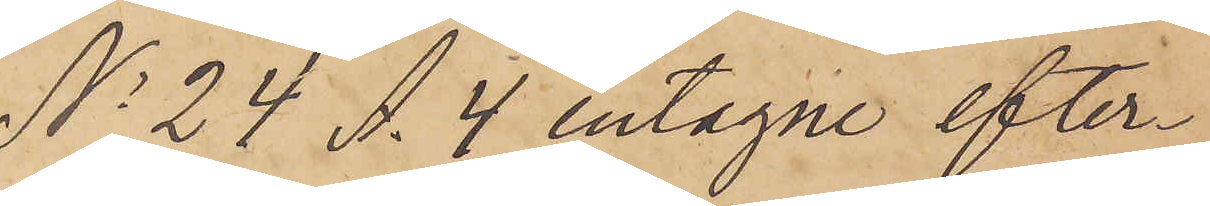No 24 A. 4 intagne efter¬
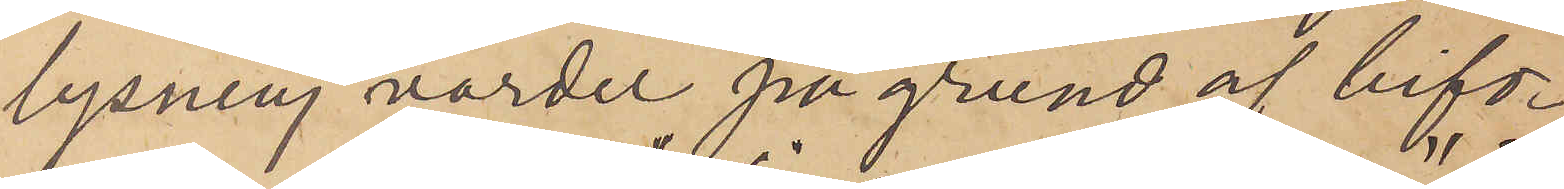lysning varder på grund af bifo¬
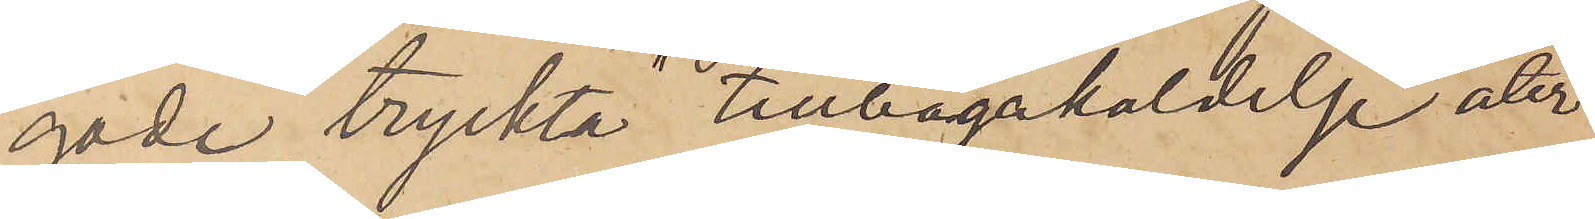gade tryckta "tillbagakaldelse" åter¬
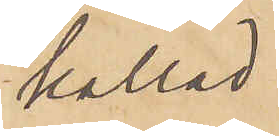kallad
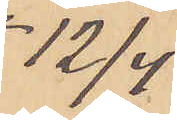 12/4
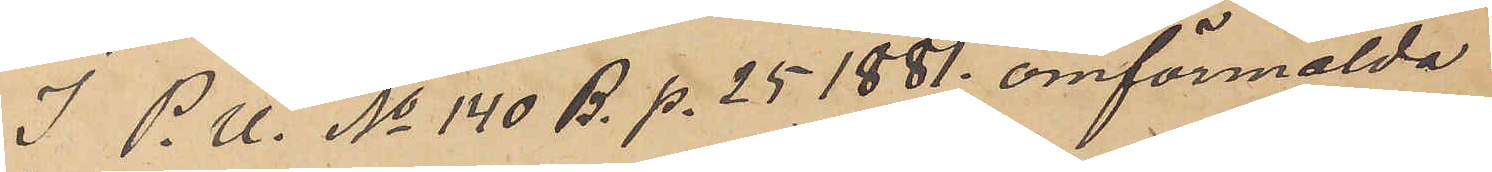I P. U. No 140 B. p. 25 1881. omförmälda
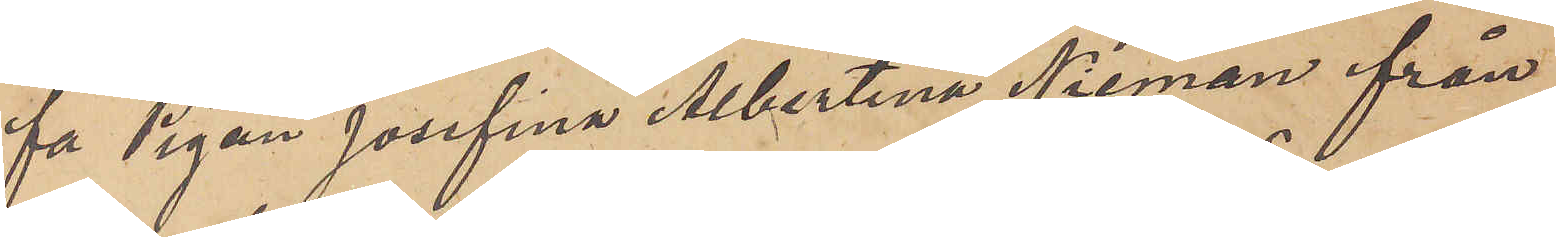fa Pigan Josefina Albertina Nieman från
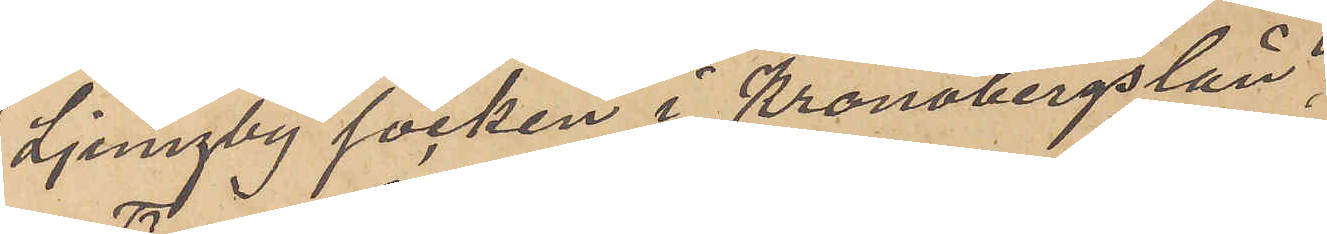Ljungby socken i Kronobergs län;
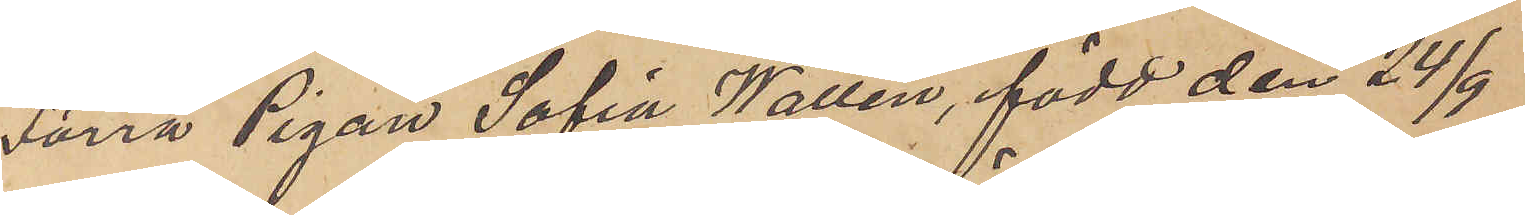Förra Pigan Sofia Wallén, född den 24/9
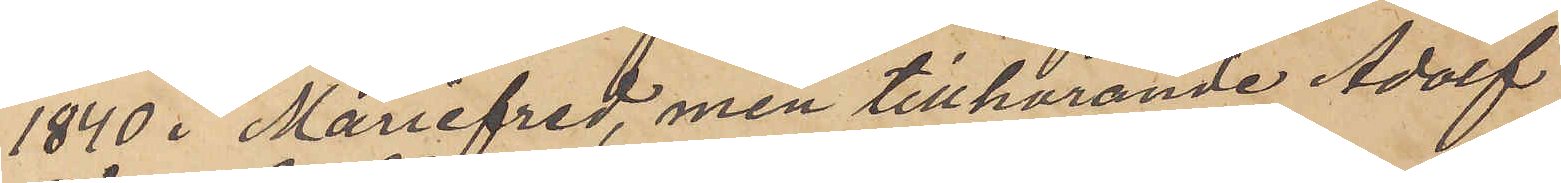1840 i Mariefred, men tillhörande Adolf
